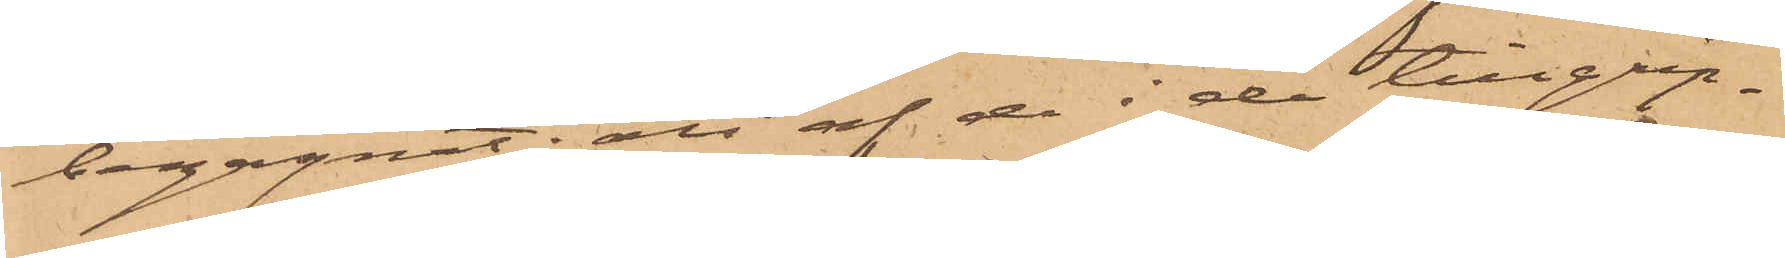begagnat; att af de i de tillgrep¬
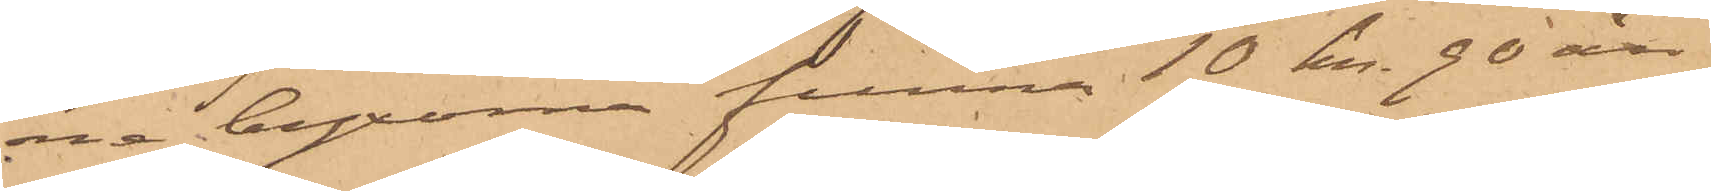ne byxorna funna 10 kr. 90 öre
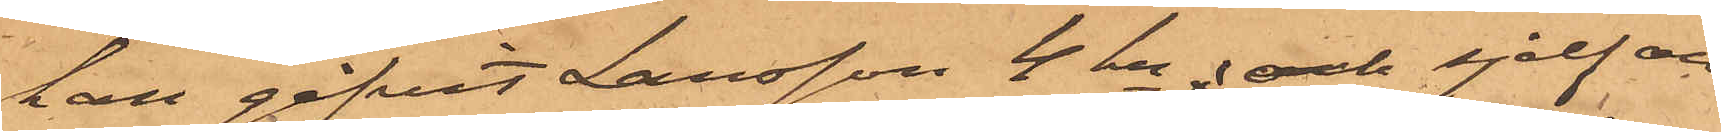han gifvit Larsson 4 kr; och sjelf an¬
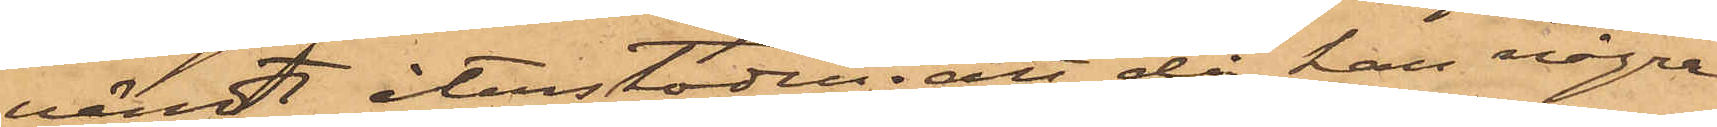vändt återstoden; att då han några
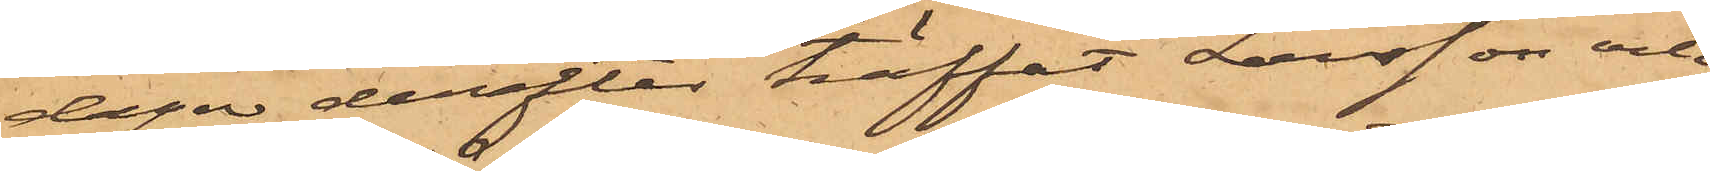dagar derefter träffat Larsson och
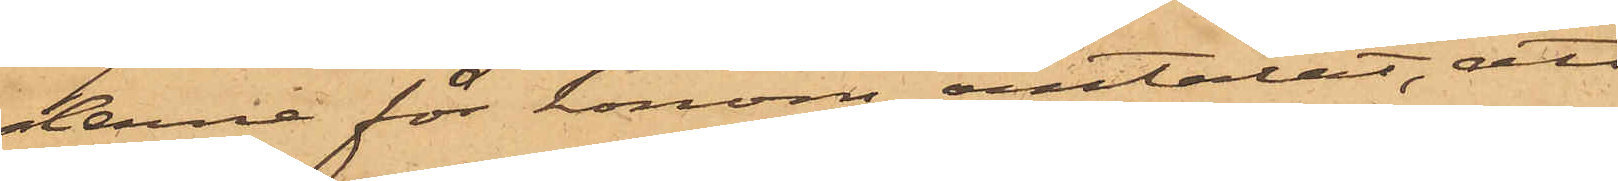denne för honom omtalat, att
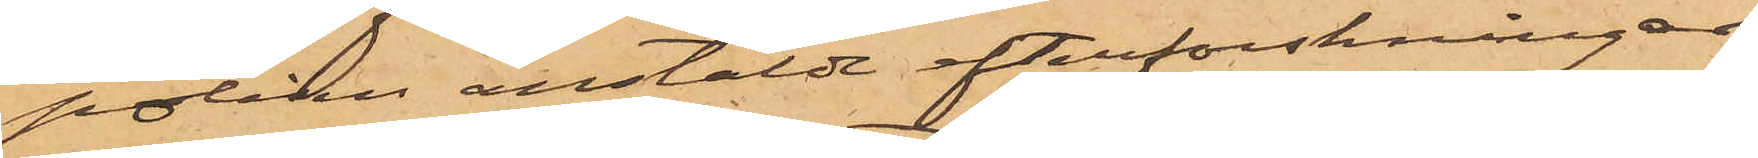polisen anstäldt efterforskningar
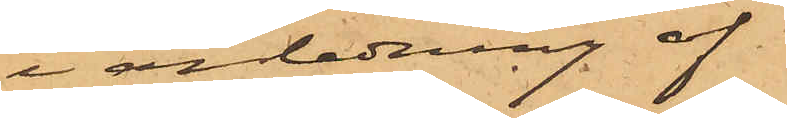i anledning af
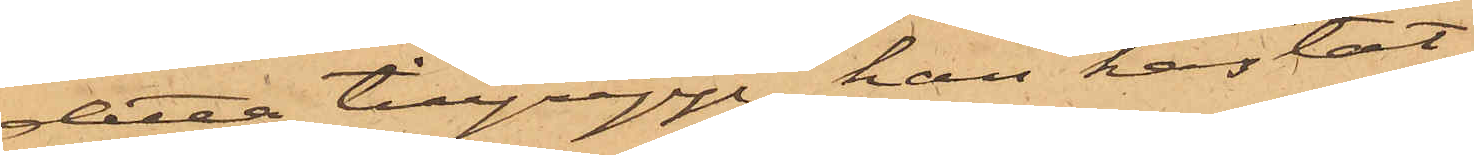detta tillgrepp, han kastat
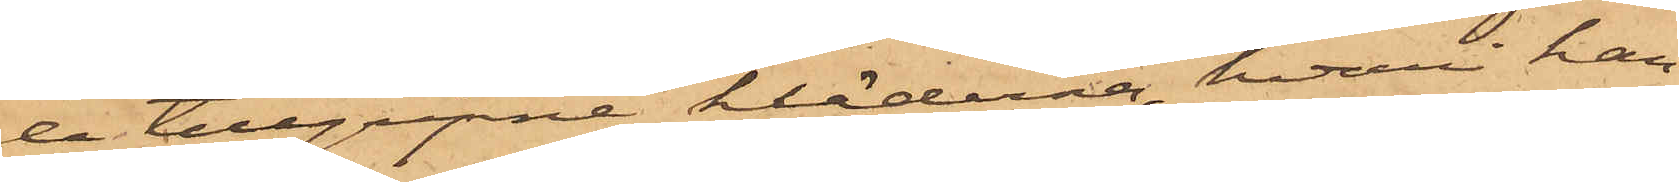de tillgripne kläderna, hvari han
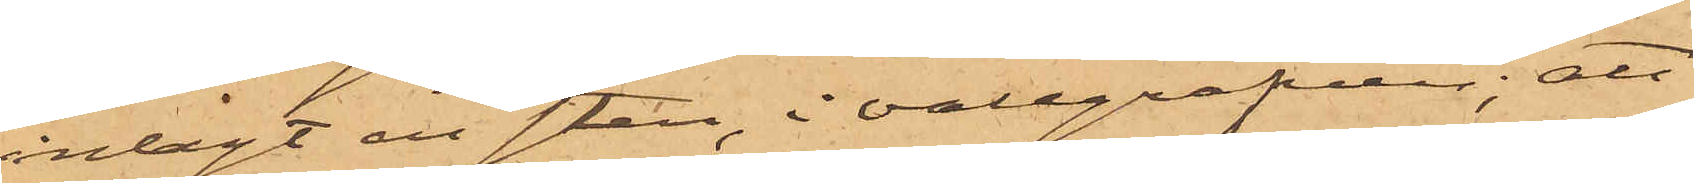inlagt en sten, i vallgrafven; att
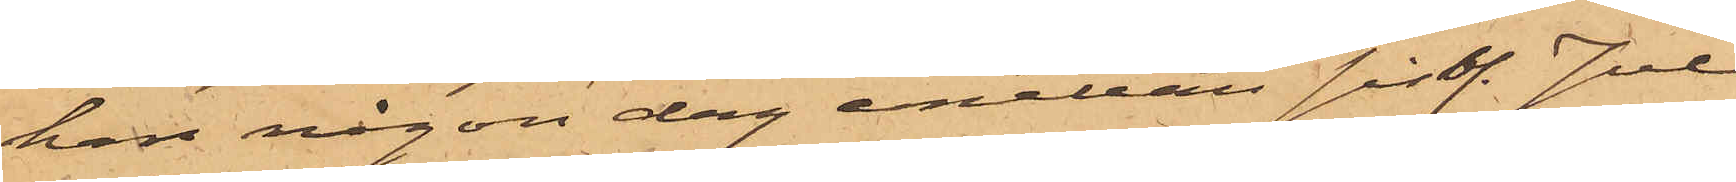han någon dag emellan sistl. Jul
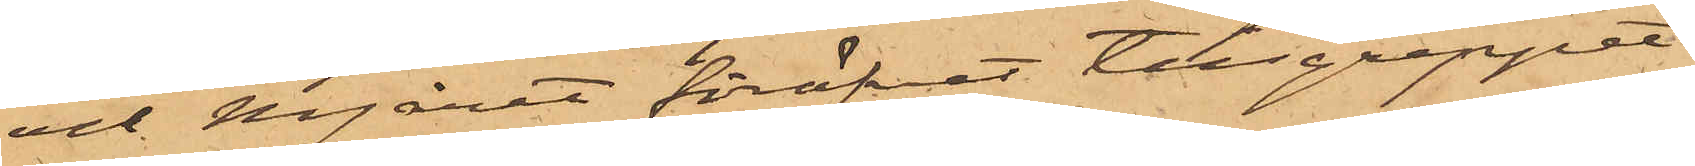och Nyåret föröfvat tillgreppet
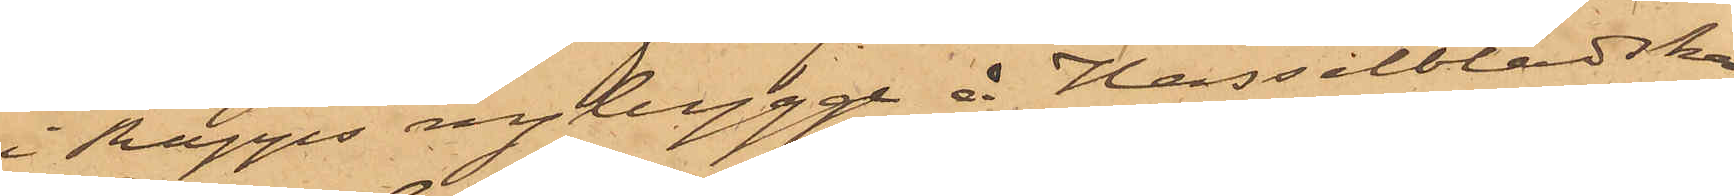i Rapps nybygge å Hasselbladska
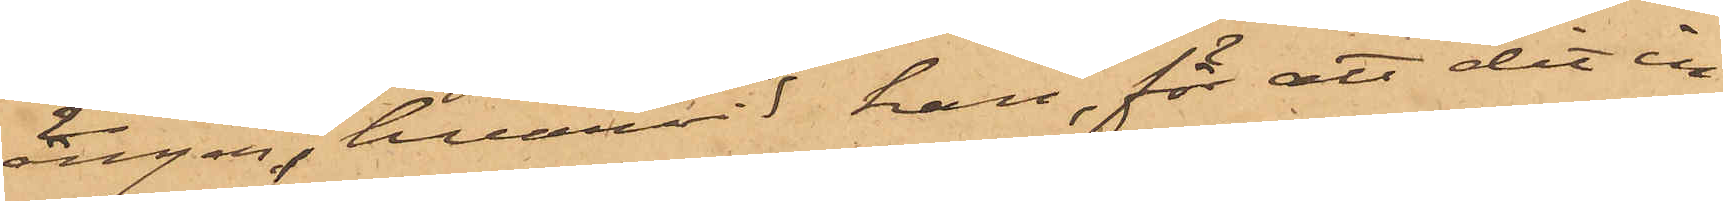ängen, hvarvid han, för att dit in¬
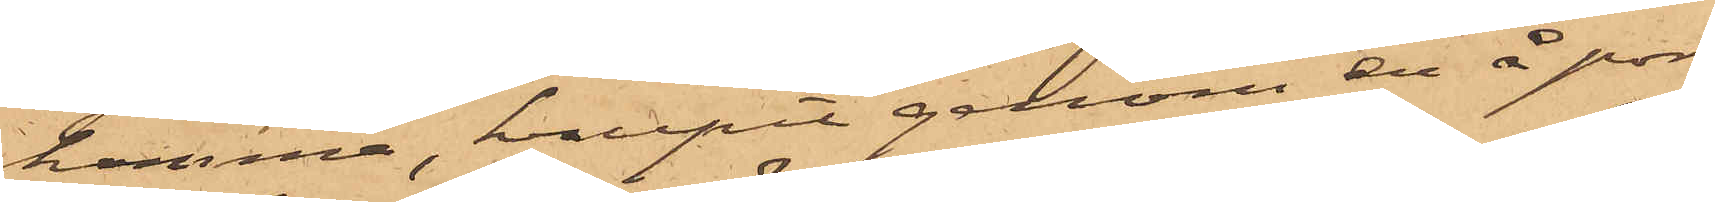komma, krupit genom en å por¬
